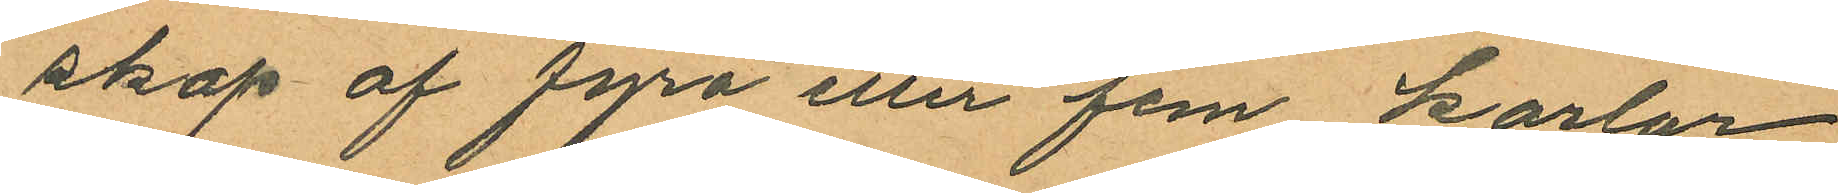skap af fyra eller fem karlar
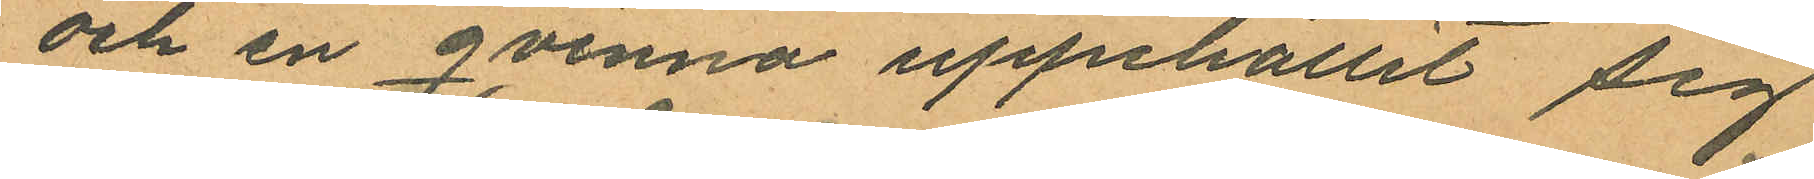och en qvinna uppehållit sig
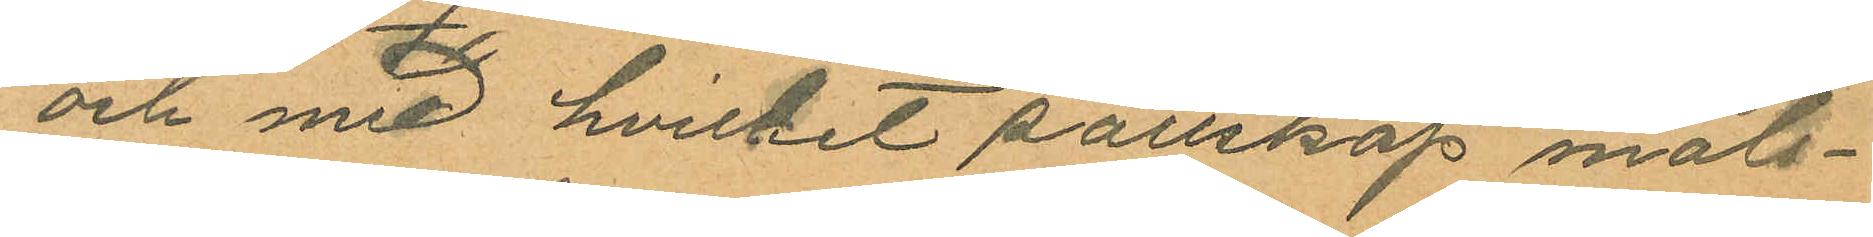och med hvilket sällskap måls¬
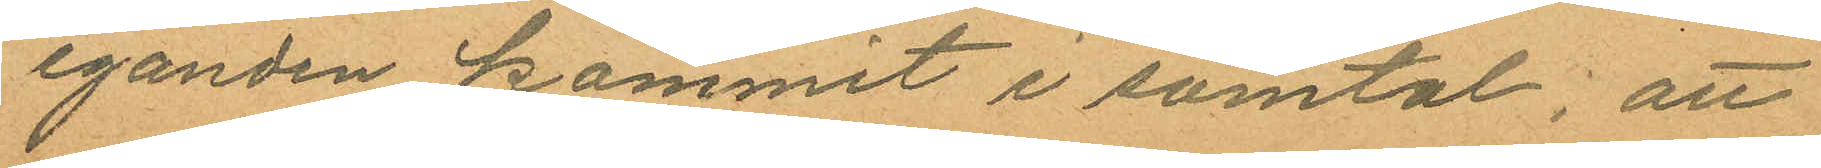eganden kommit i samtal; att
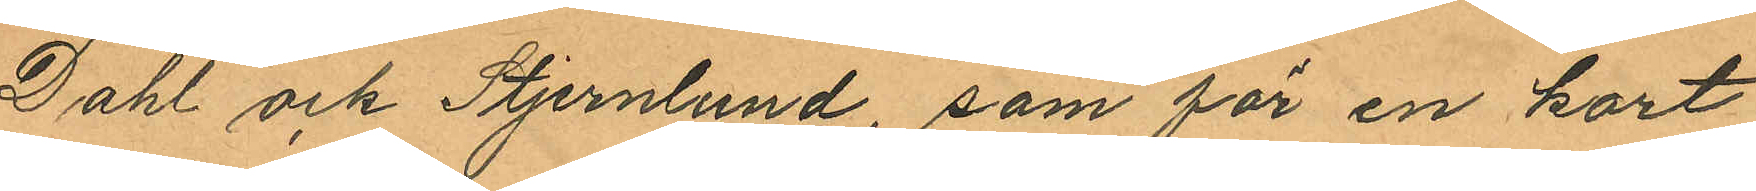Dahl och Stjernlund, som för en kort
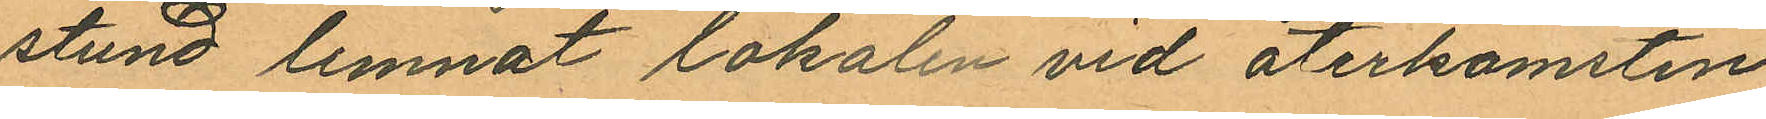stund lemnat lokalen vid återkomsten
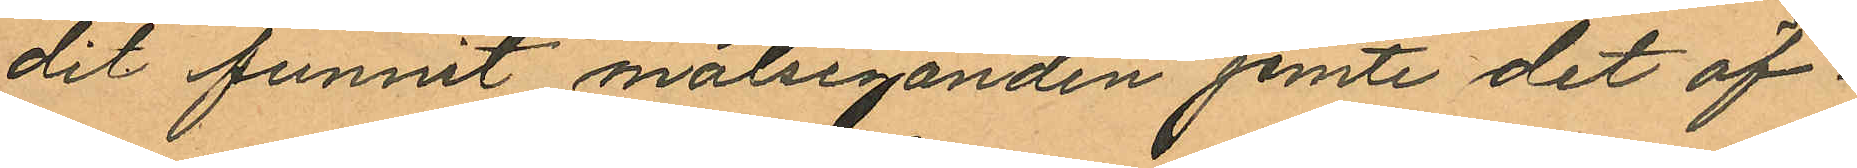dit funnit målseganden jemte det öf¬
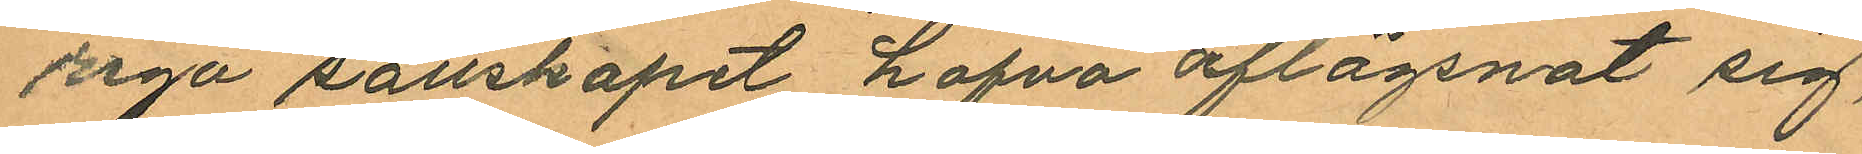riga sällskapet hafva aflägsnat sig,
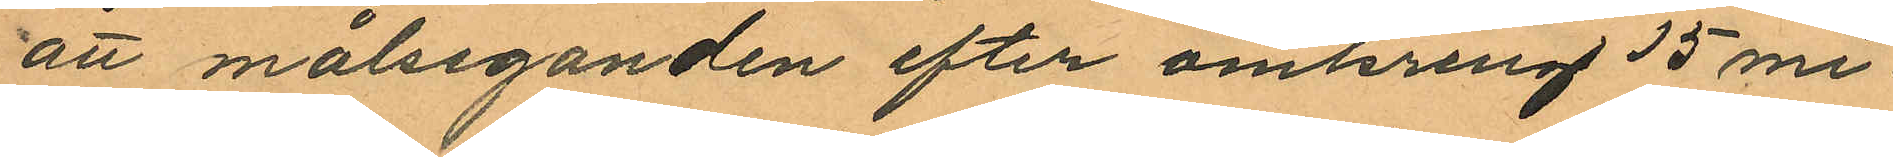att målseganden efter omkring 15 mi¬
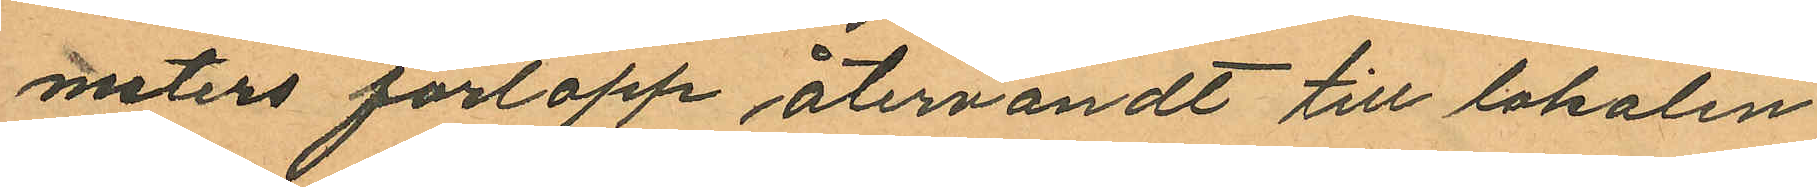nuters förlopp återvändt till lokalen,
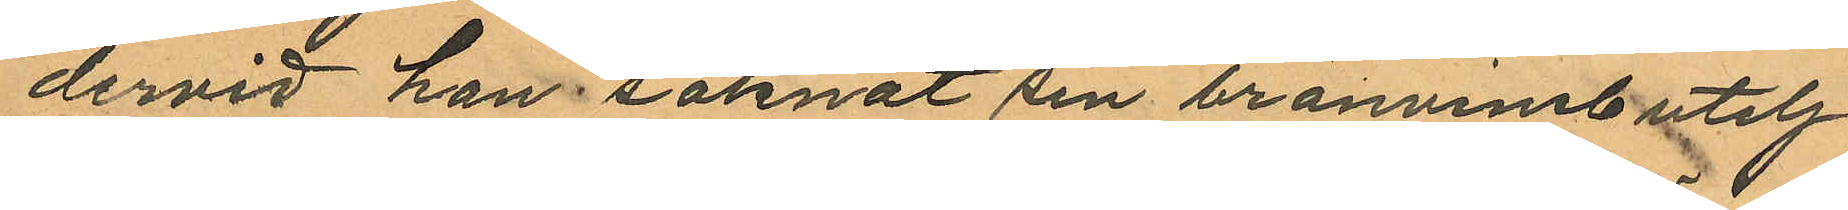dervid han saknat sin bränvinsbutelj
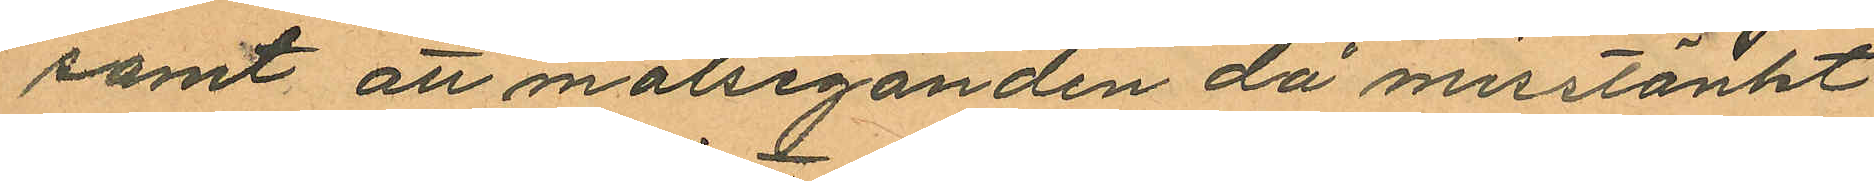samt att målseganden då misstänkt
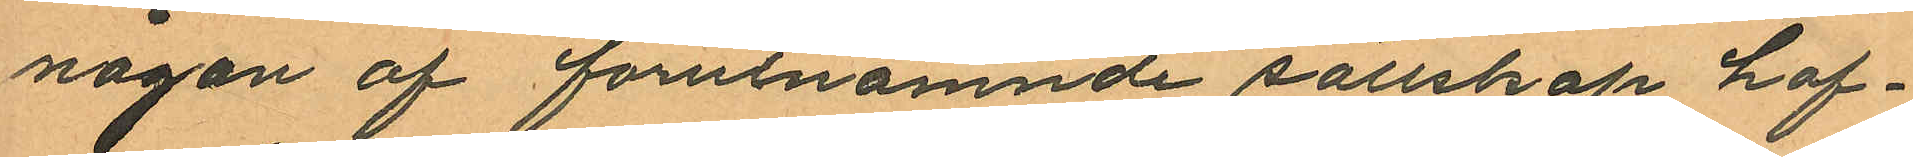någon af förutnämnde sällskap haf¬
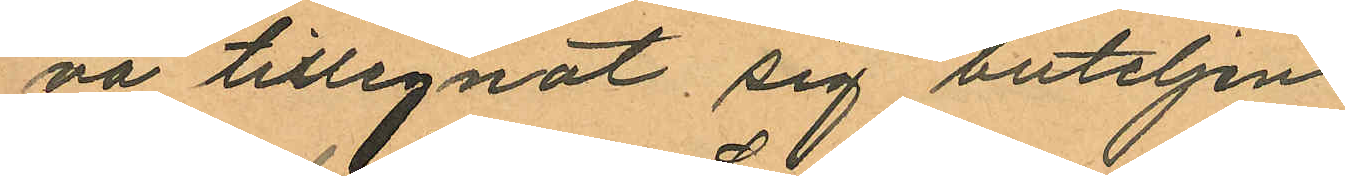na tillegnat sig buteljen.
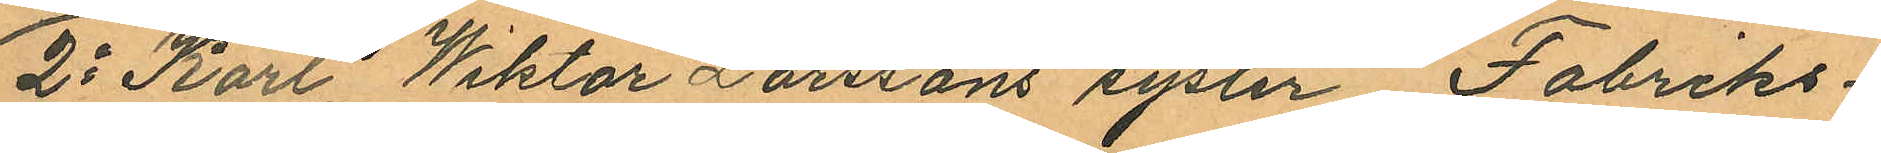2o Karl Wiktor Larssons syster, Fabriks¬
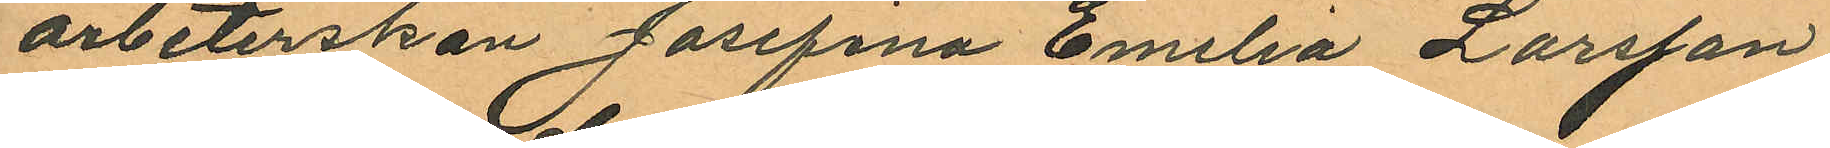arbeterskan Josefina Emilia Larsson,
